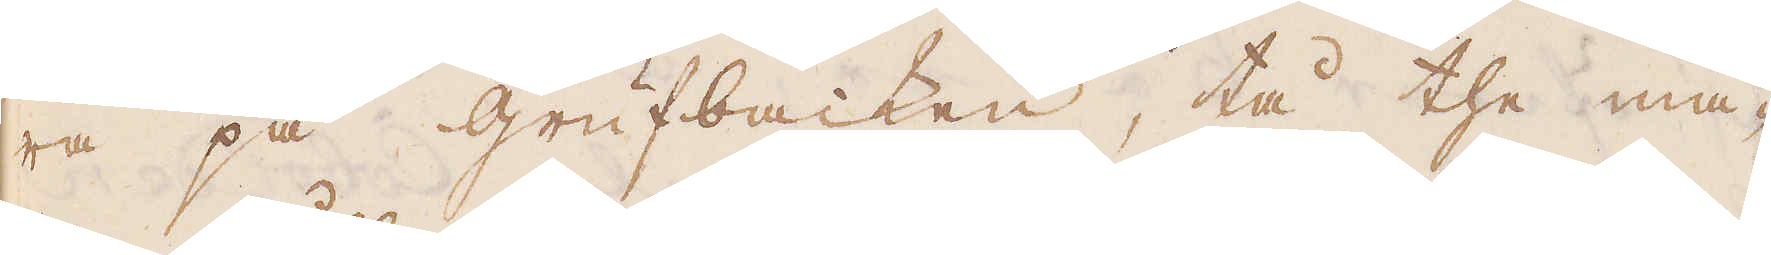ra på grufbacken, tå the må-
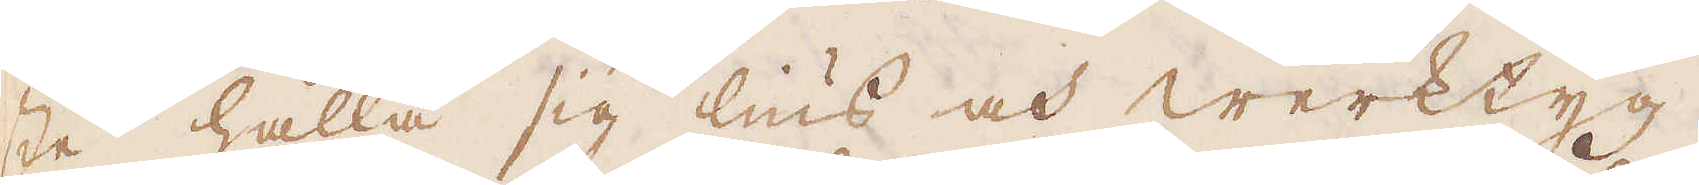ste hålla sig lius och Werktyg.
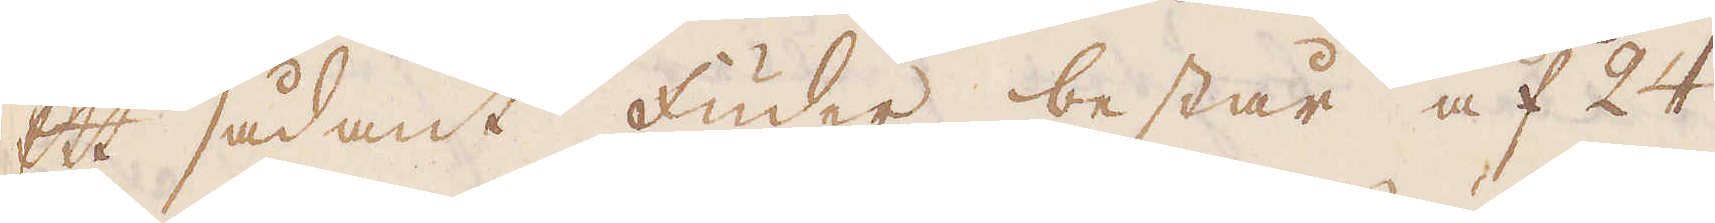Ett sådant fuder består af 24
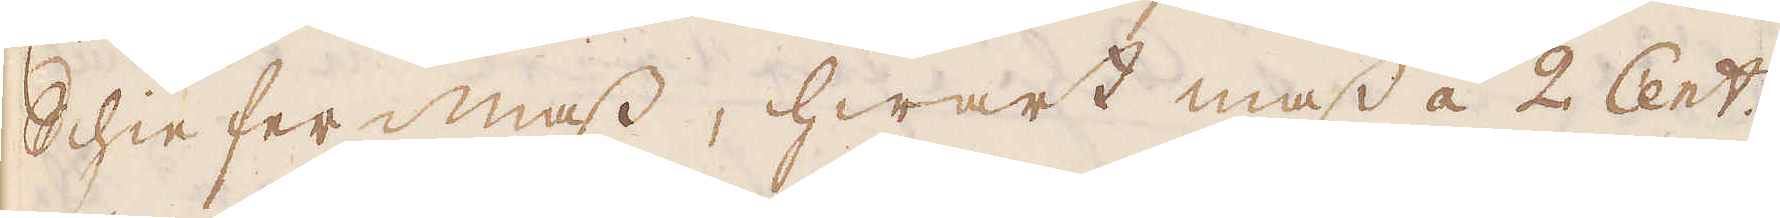Schieffer mass, hwart mass á 2 Cent:r,
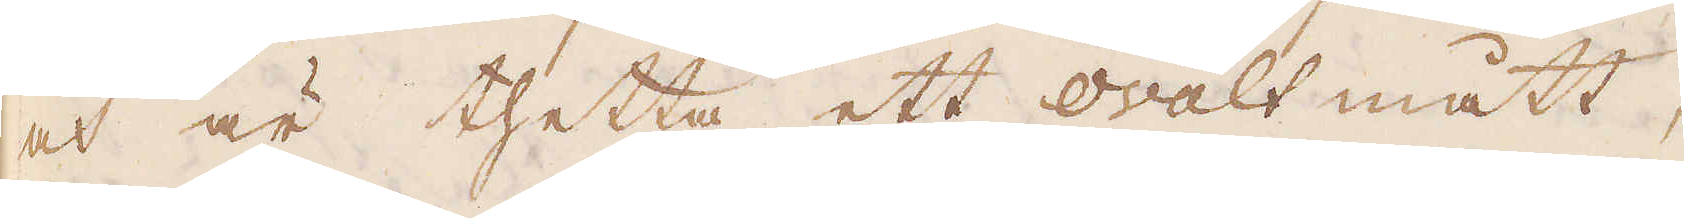och är thetta ett ovalt mått,
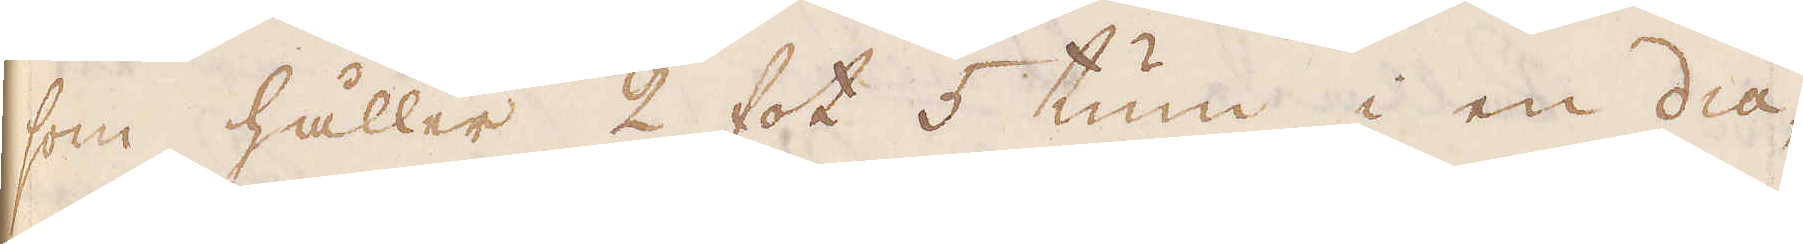som håller 2 fot 5 tum i en dia-
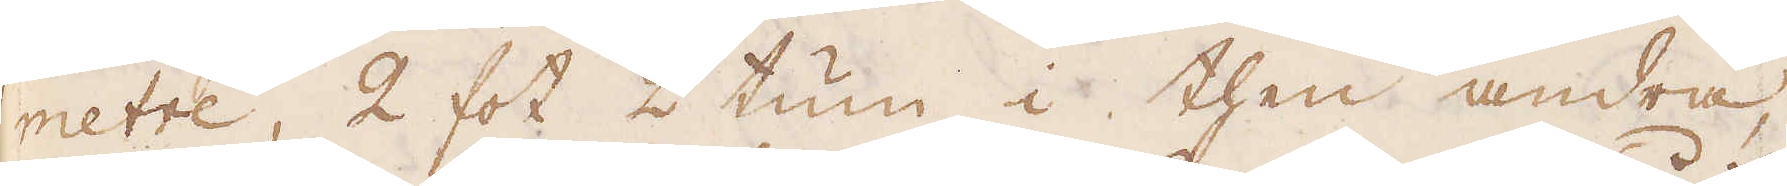metre, 2 fot 2 tum i then andra,
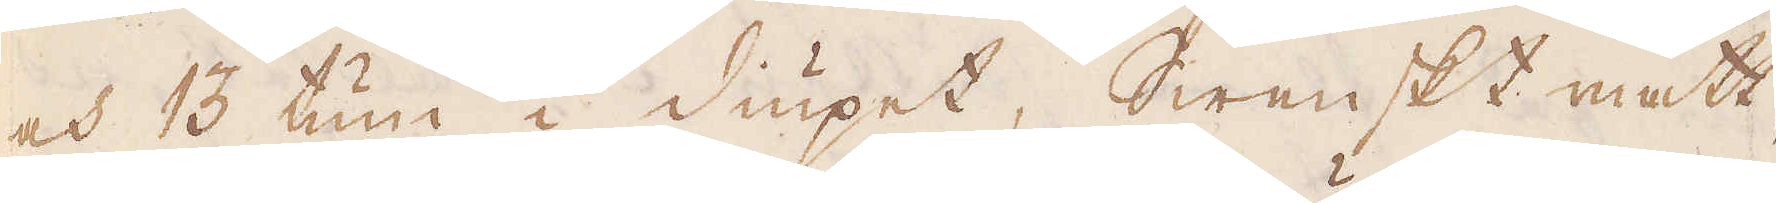och 13 tum i diupet, Swenskt mått.
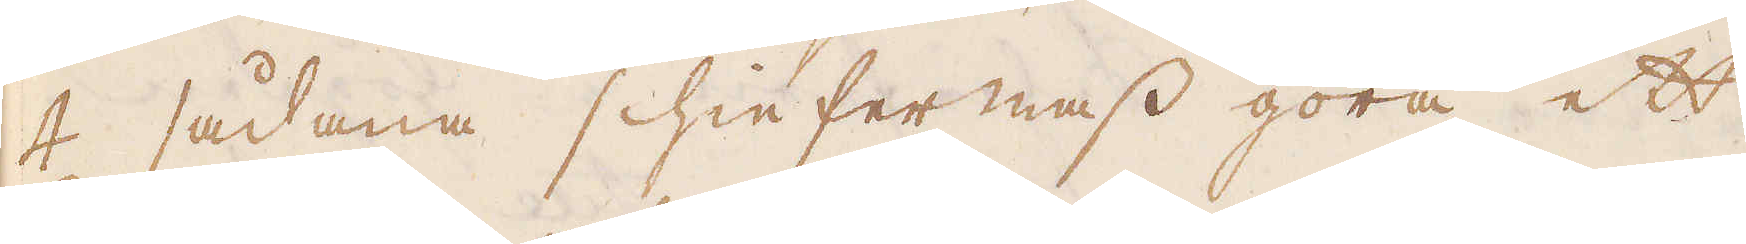4 sådana schieffermass göra ett
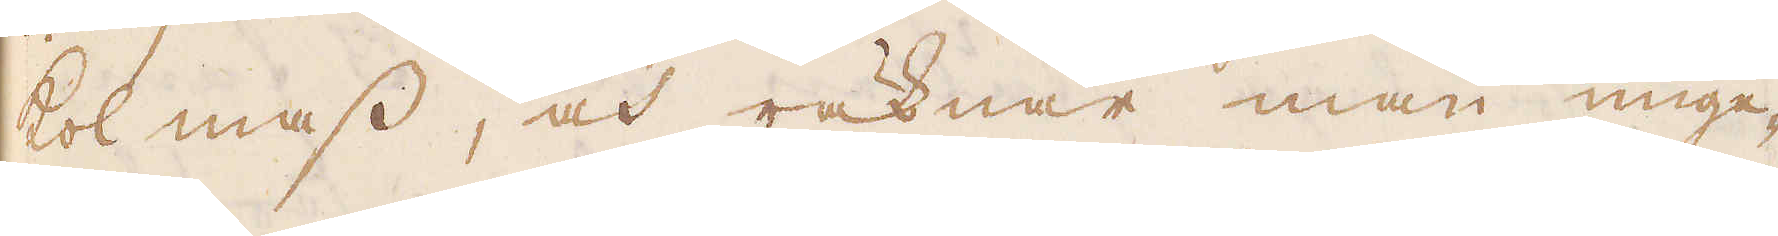kol mass, och räknar man unge-
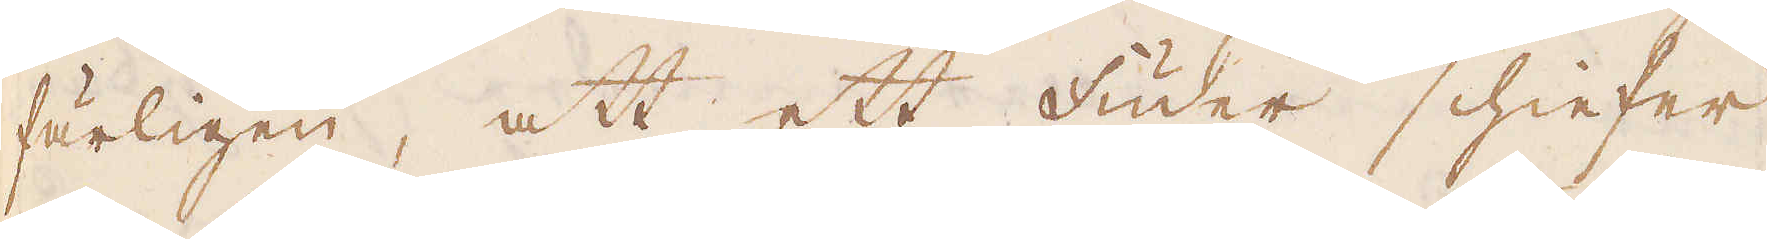färligen, att ett fuder schieffer
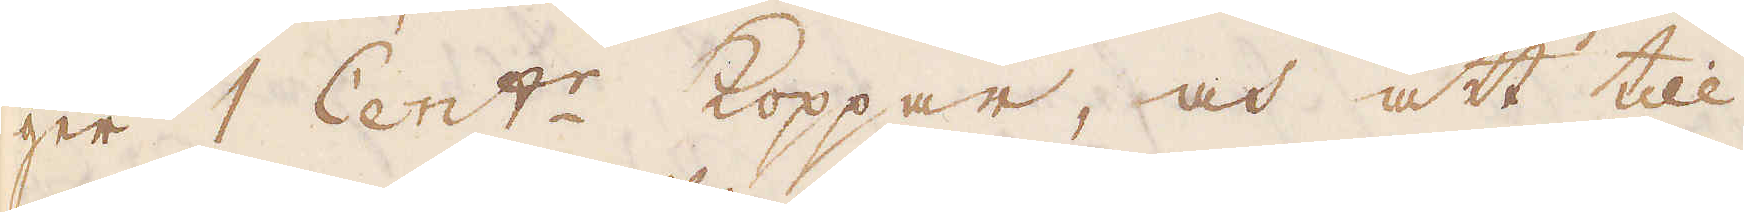ger 1 Cent:r Koppar, och att till
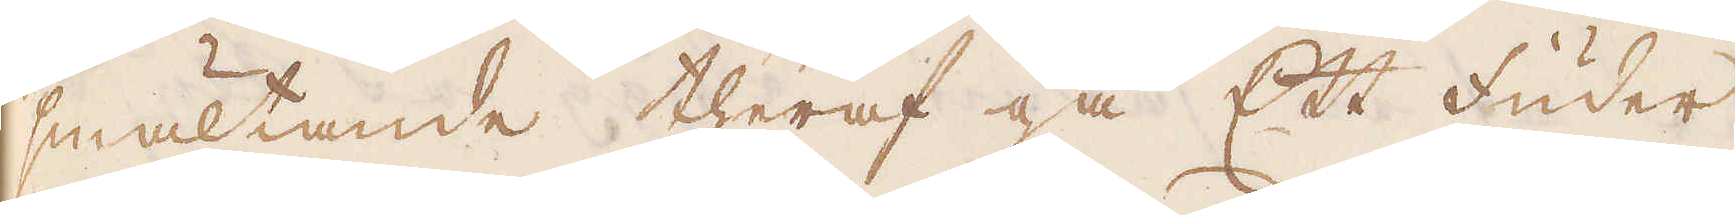smältande theraf gå Ett fuder
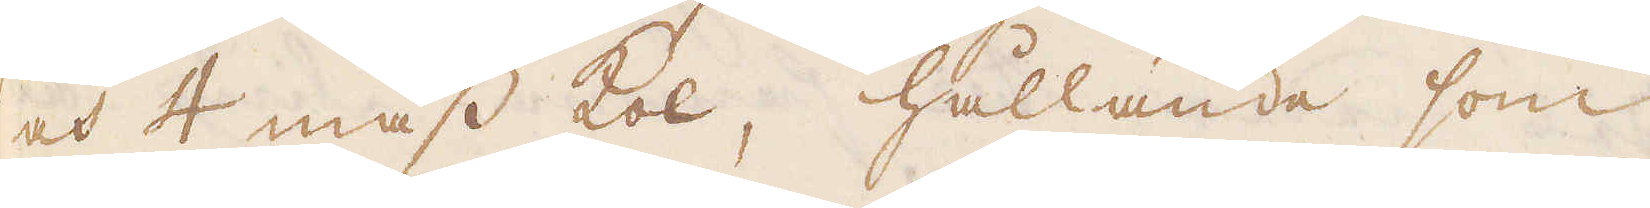och 4 mass kol, hållande som
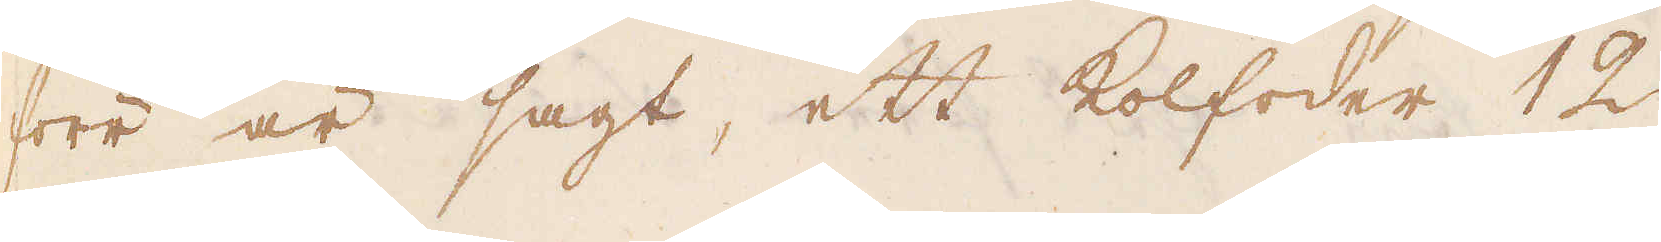förr är sagt, ett kolfoder 12
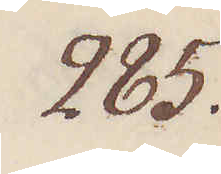285.
